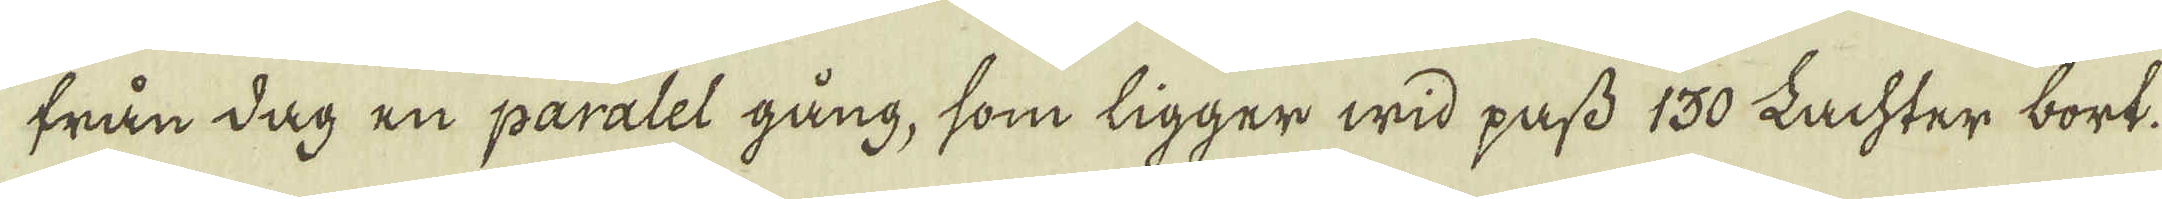från dag en paralel gång, som tigger wid pafs 130 Lachter bort.
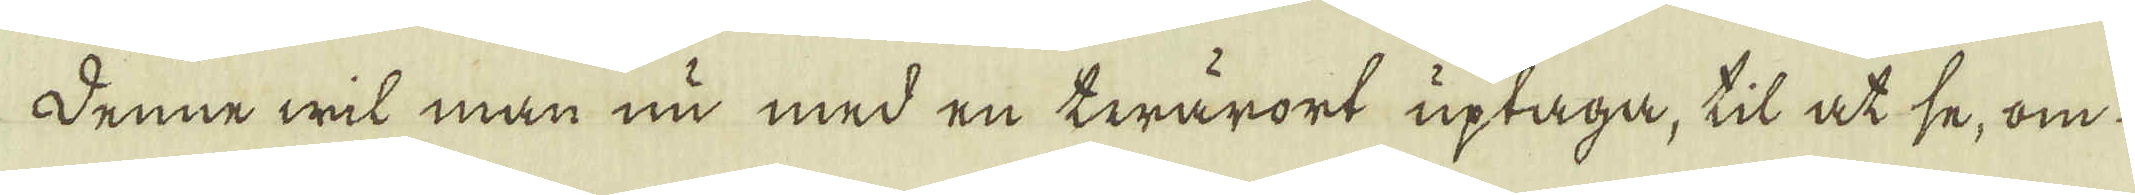Denne wil man nu med en twärort uptaga, til ot se, om-
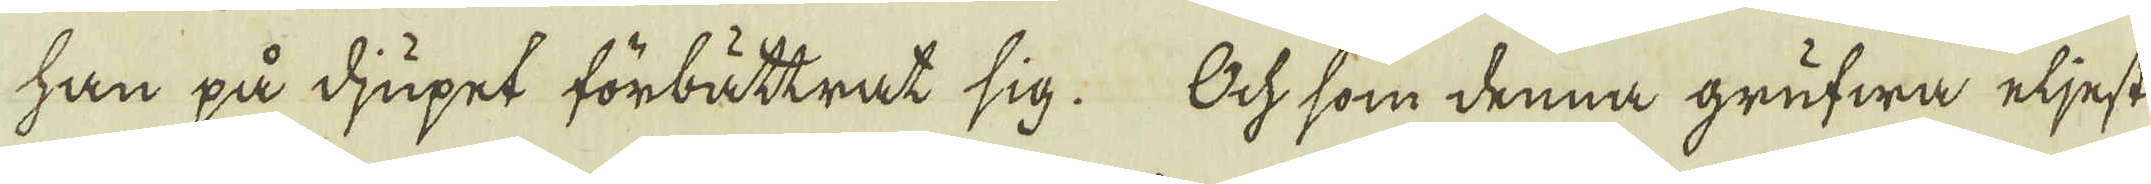han på djupet förbätkrat sig. Och som denna grufwa eljest
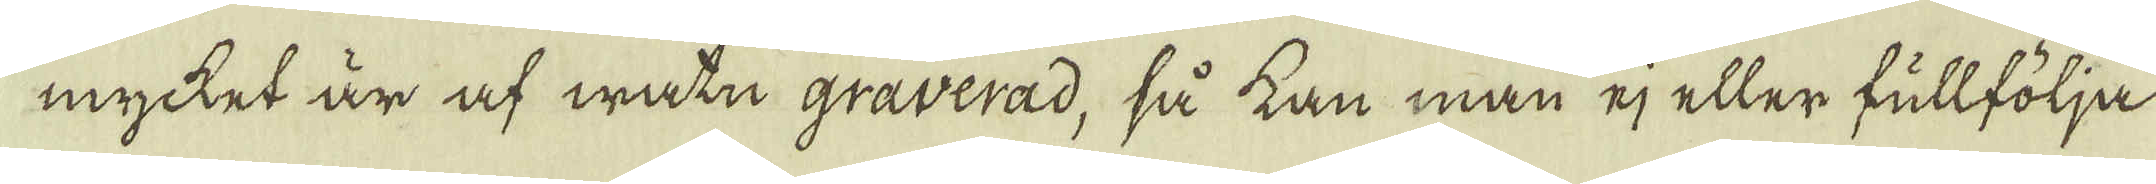mycket är af watn graverad, så kan man ej eller fullfölja
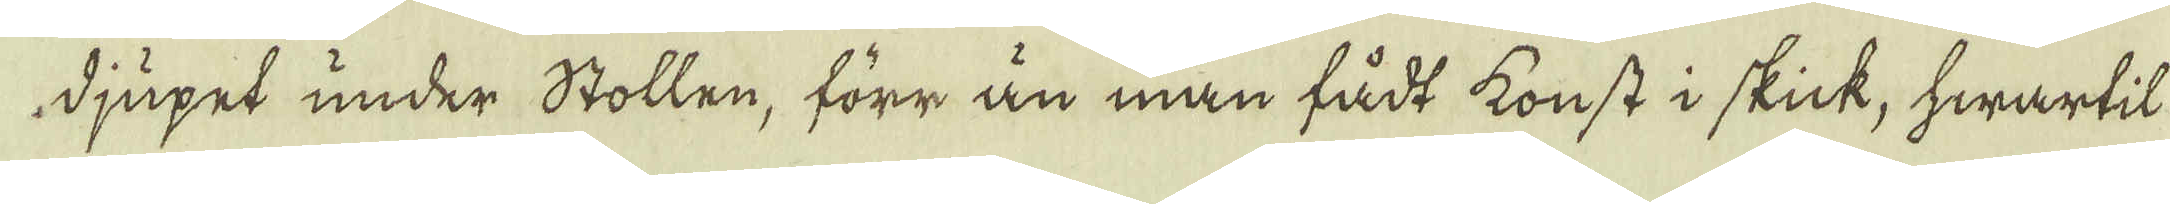djupet under Stollen, förr än man fådt konst i skick, hwartil
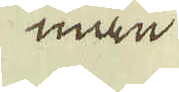man
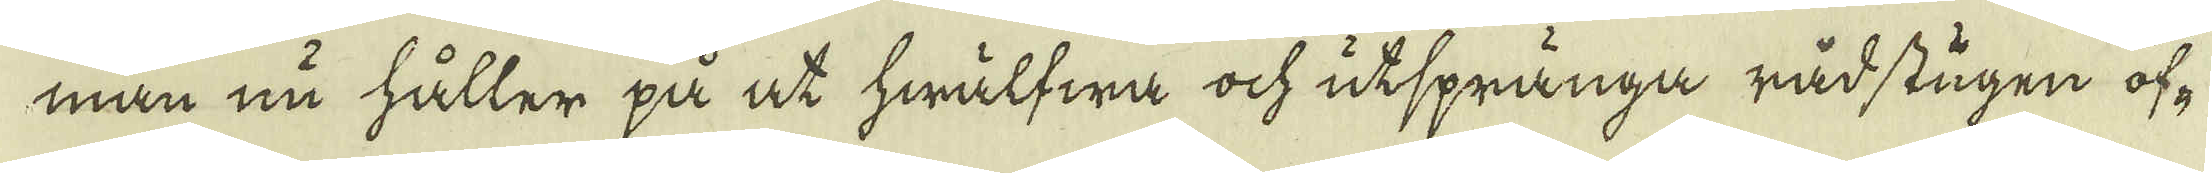man nu håller på at hwälfwa ock utsprånga råd stigen of-
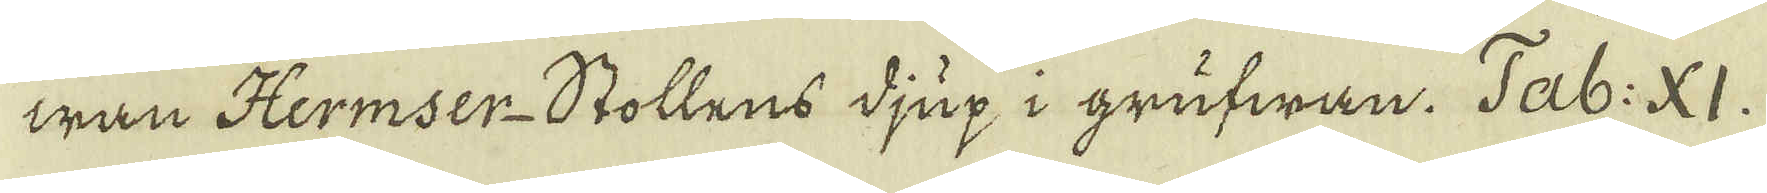wan Hermser-Stollens djup i grufwan. Tab: XI.
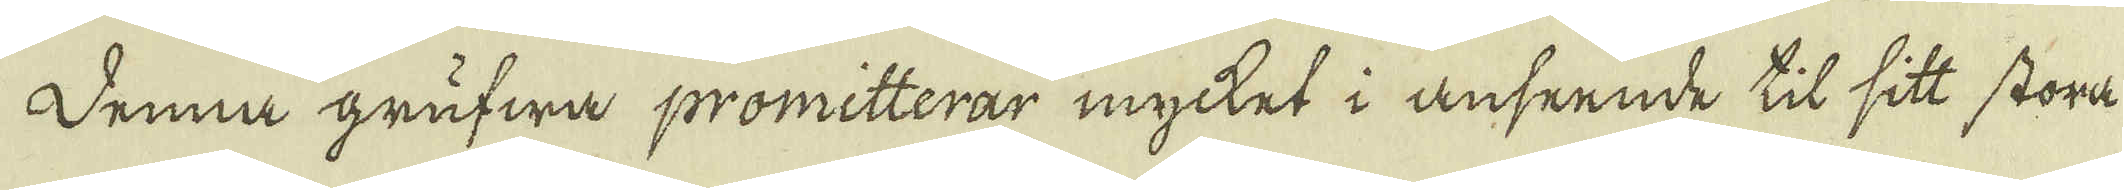Denna grufwa promitterar mycket i anseende til sitt stora
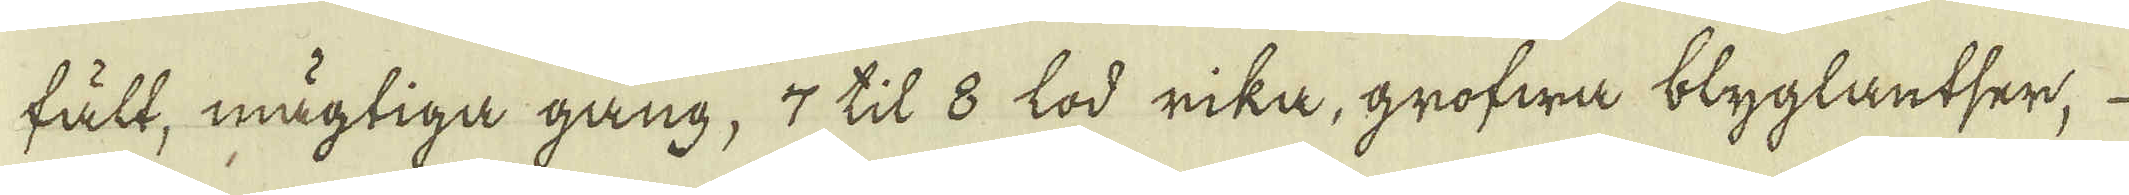fält, mägtiga gång, 7 til 8 lod rika, grofwa blyglantser, 
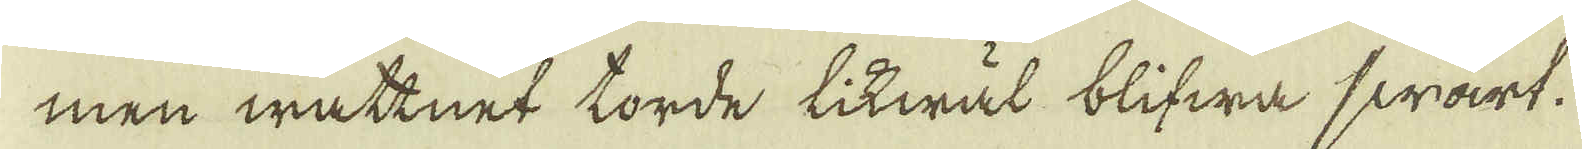men watknet torde litwäl blifwa swart.
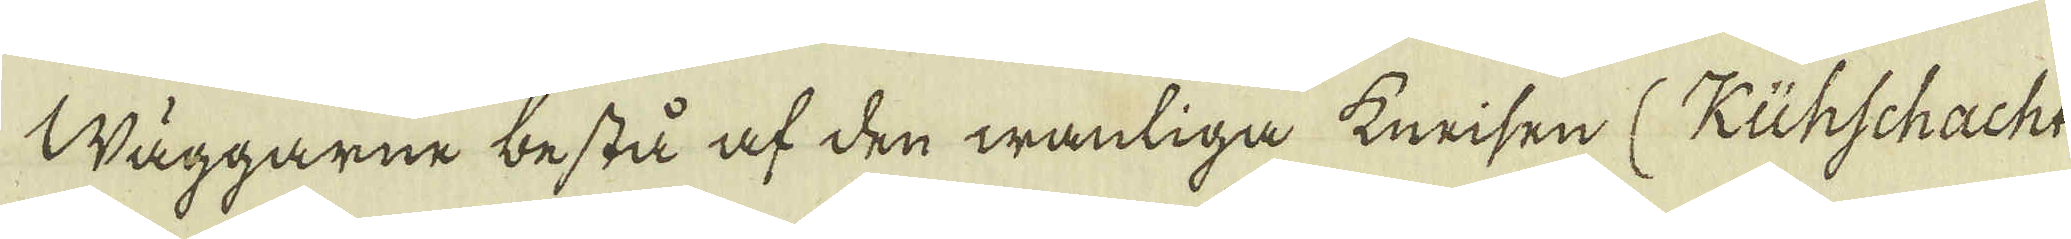Näggarne bestå af den wantiga knrisen (Kühschacht
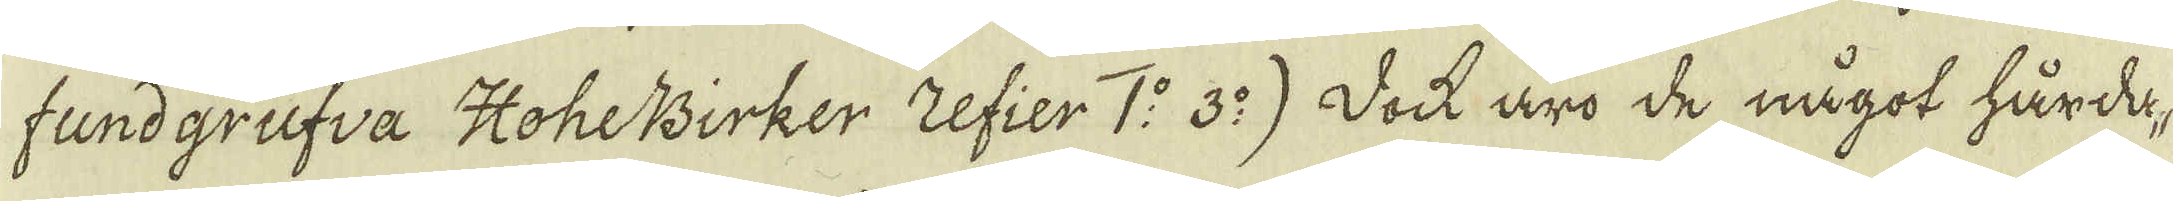fundgrufva HoheBirker Zefier 1:o 3:o) Doch äro de något hårda-
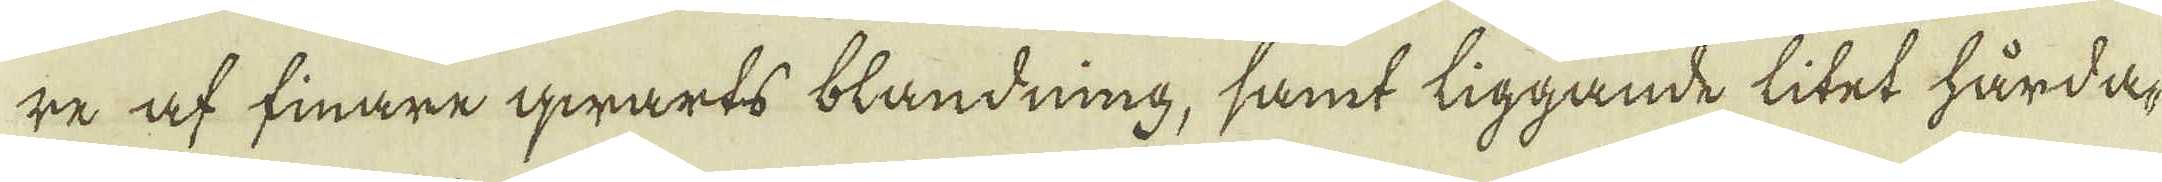re af finare qwarts blandning, samt liggande litet hårda-
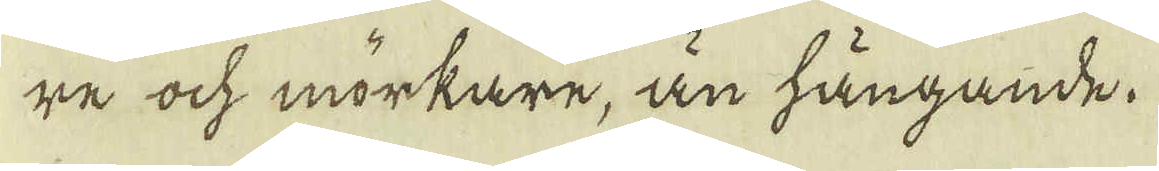re ock mörkare, än hängande.
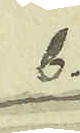b.
